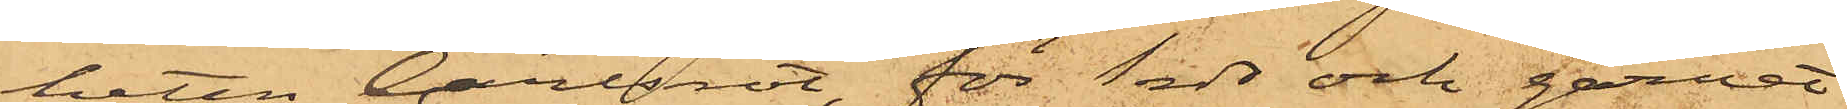heten Carlsrot, för 1 rdr och garnet
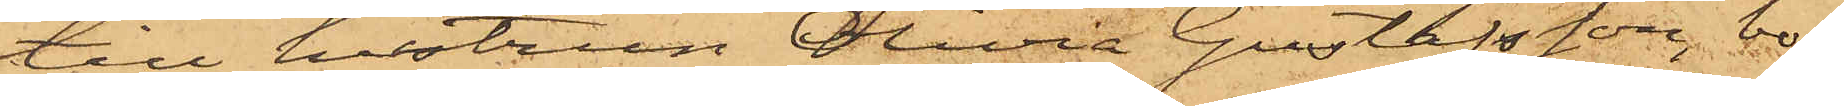till hustrun Olivia Gustafsson, bo¬
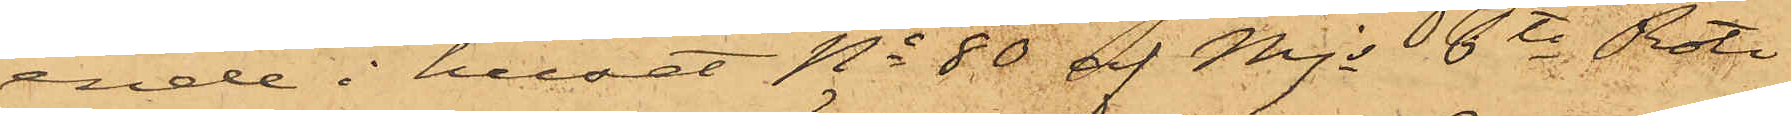ende i huset No 80 af Mjs 6te Rote
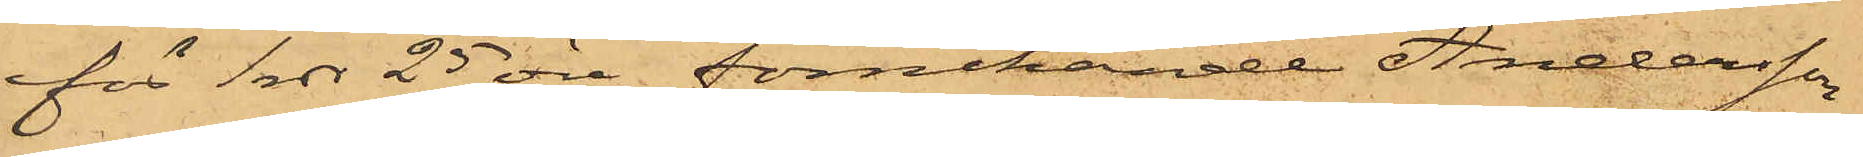för 1 rdr 25 öre, förnekande Andersson
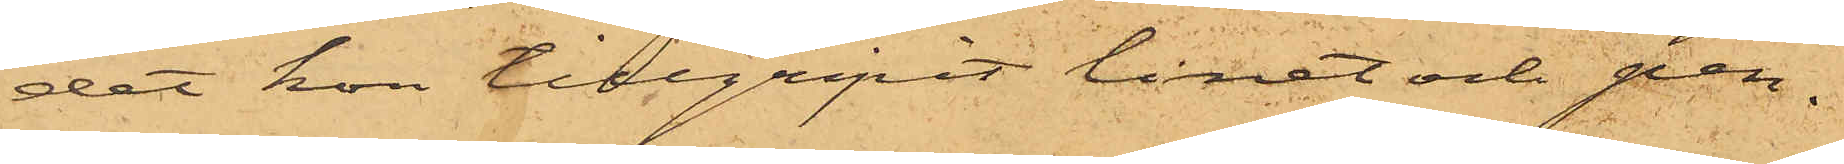det hon tillgripit linet och pen¬
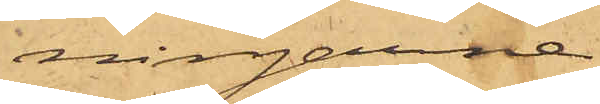ningarne
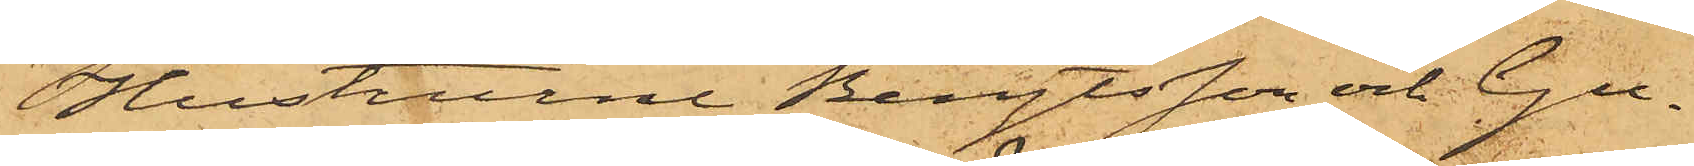Hustrurne Bengtsson och Gu¬
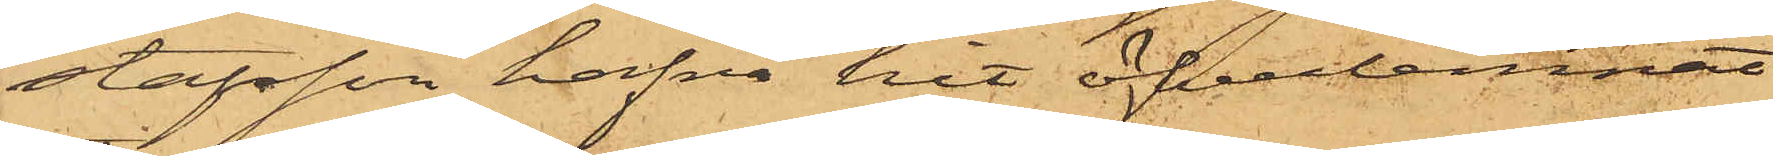stafsson hafva hit öfverlemnat
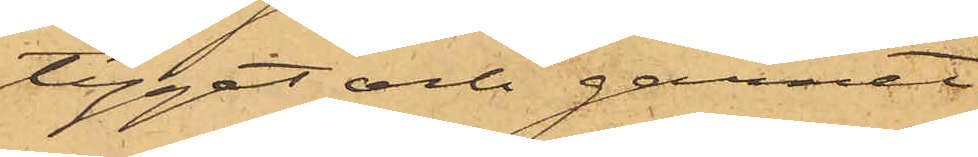tyget och garnet.
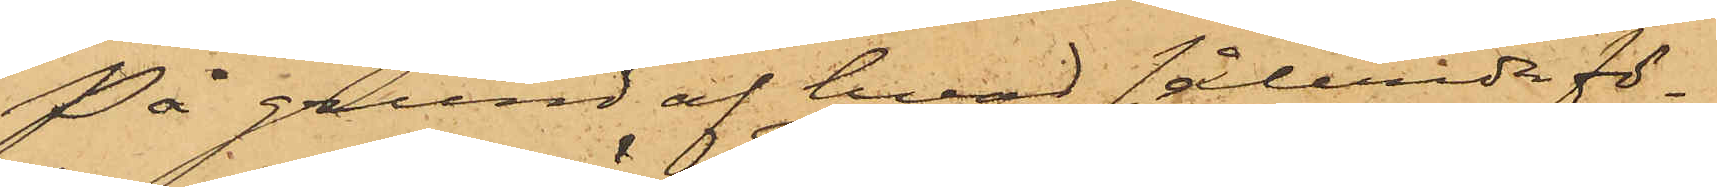På grund af hvad sålunda fö¬
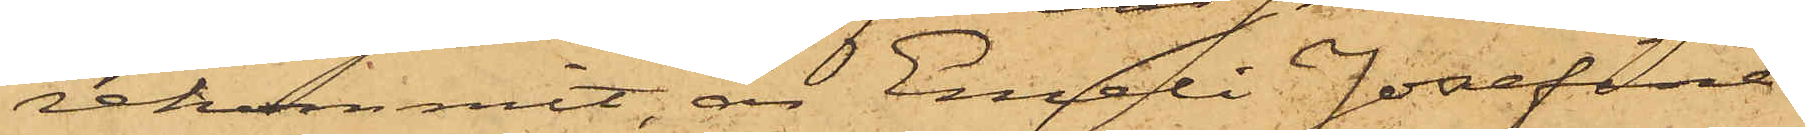rekommit, är Emeli Josefina
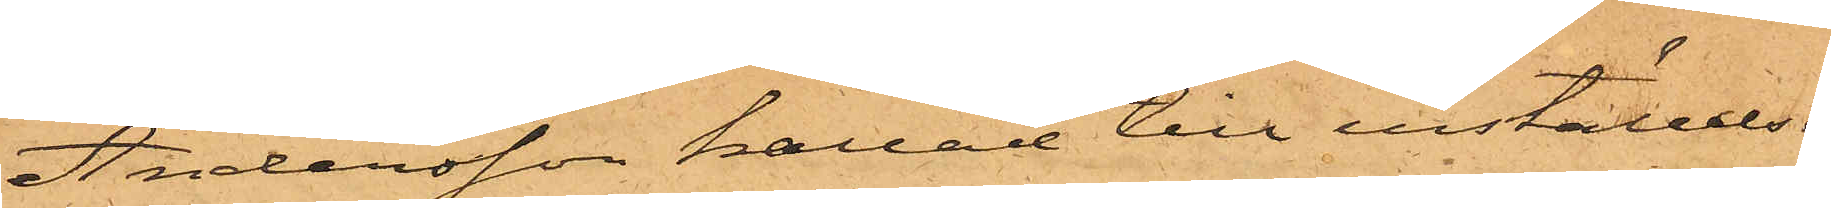Andersson kallad till inställelse
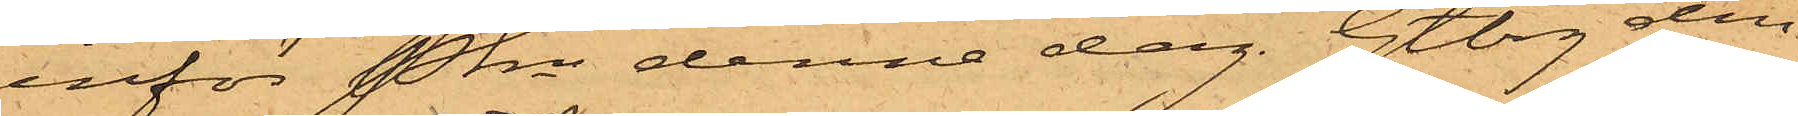inför Pkn denna dag. Gtbg den
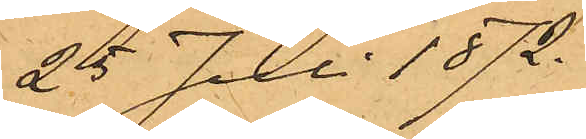25 Juli 1872.
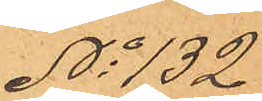No 132
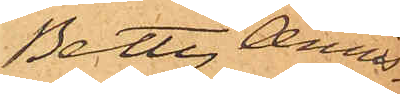Betty Annis¬
